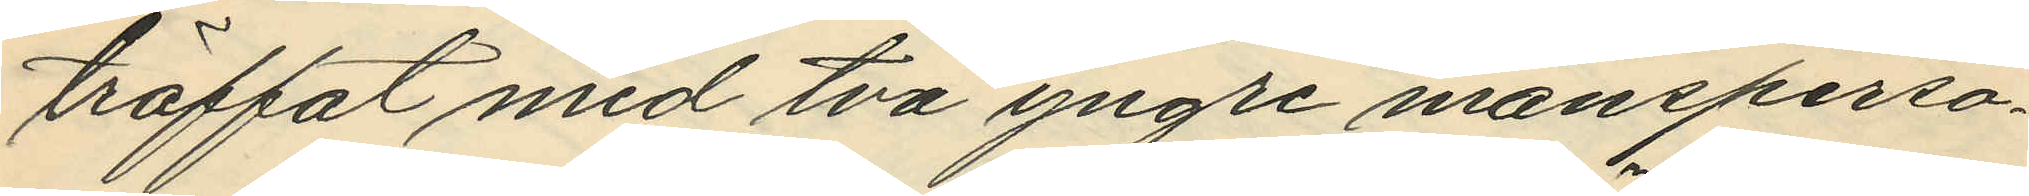träffat med två yngre mansperso¬
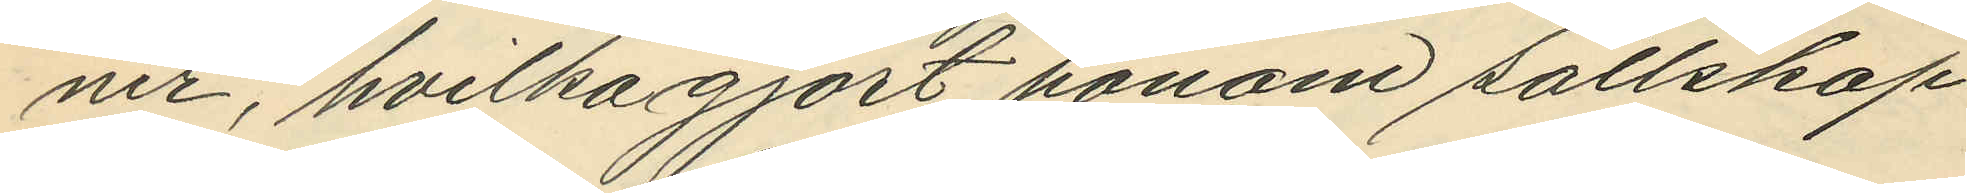ner, hvilka gjort honom sällskap
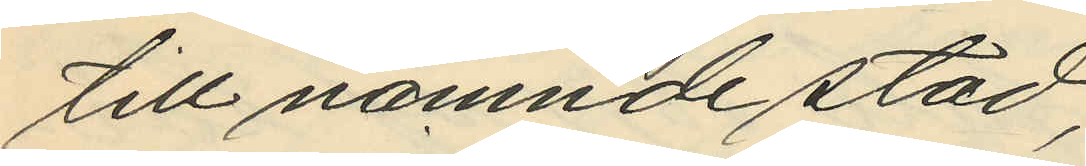till namnde stad;
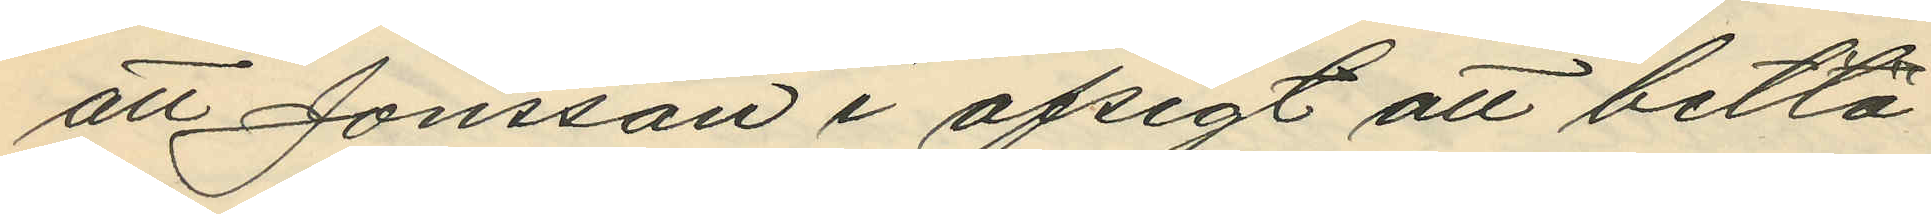att Jonsson i afsigt att betla
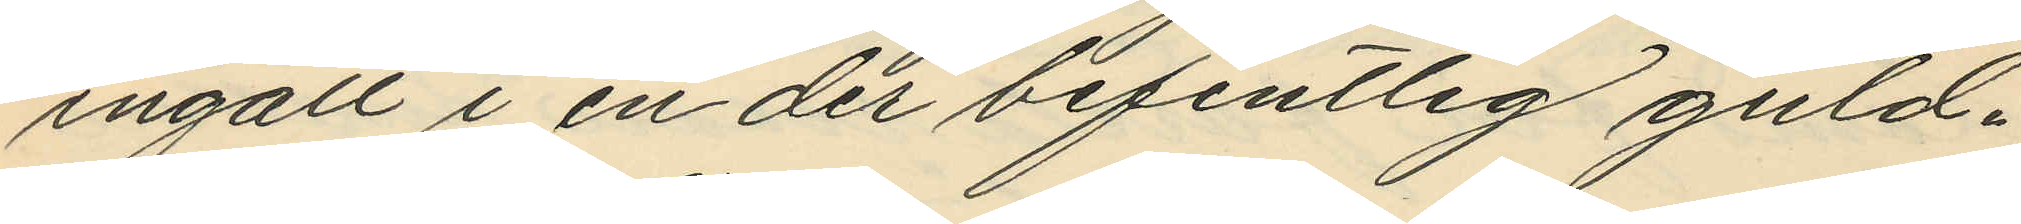ingått i en der befintlig guld¬
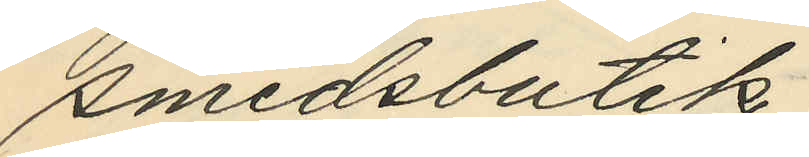smedsbutik;
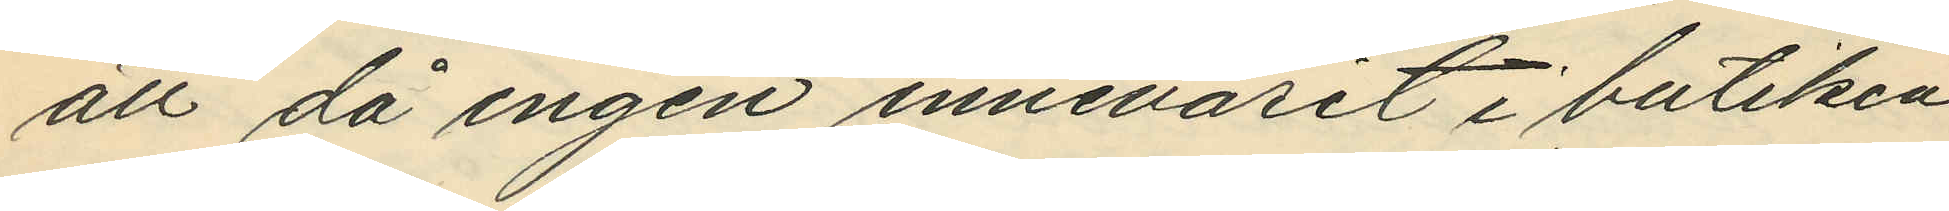att då ingen innevarit i butiken
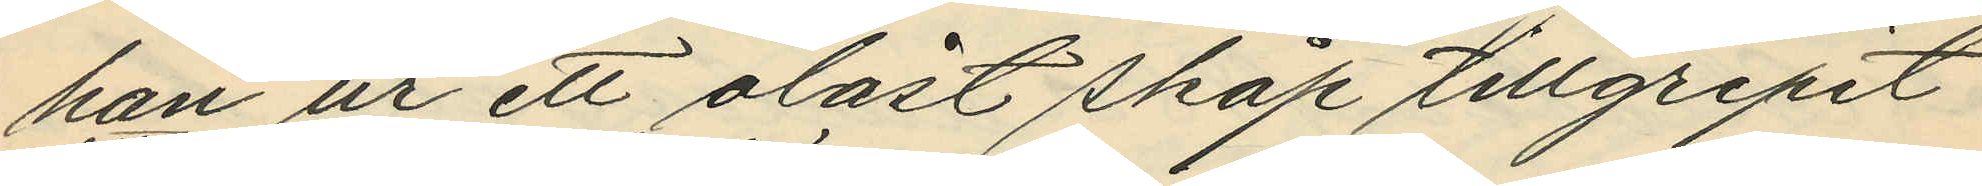han ur ett olåst skåp tillgripit
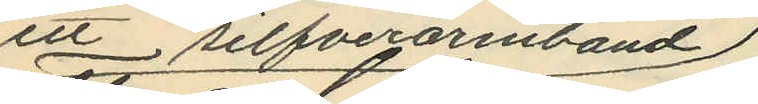ett silfverarmband
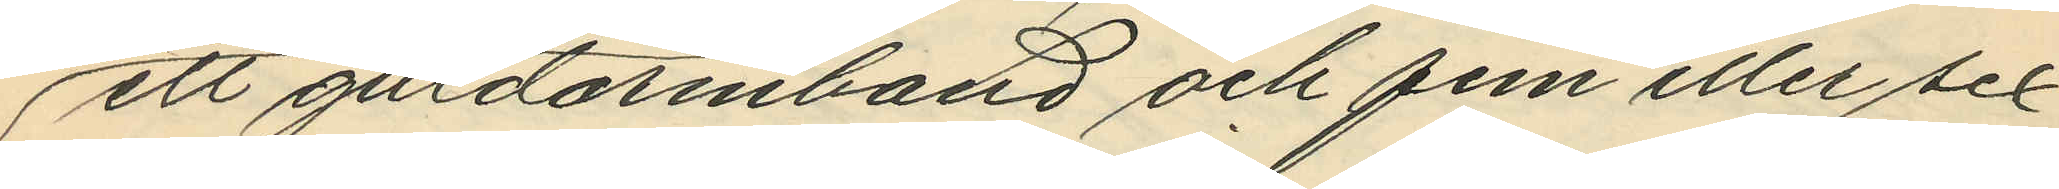ett guldarmband och fem eller sex
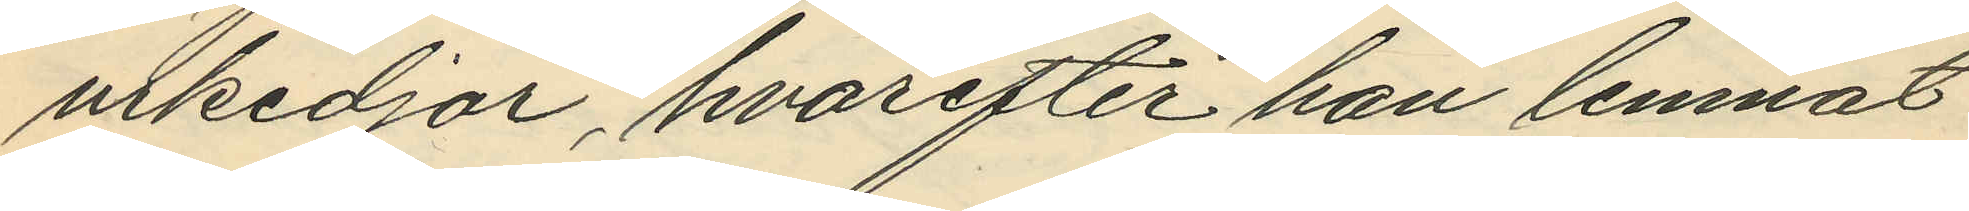urkedjor, hvarefter han lemnat
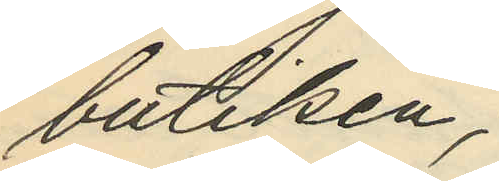butiken;
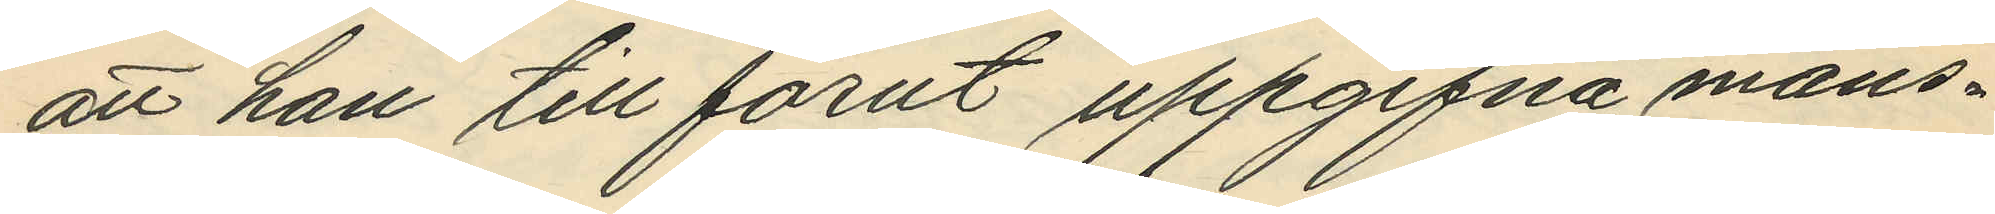att han till förut uppgifna mans¬
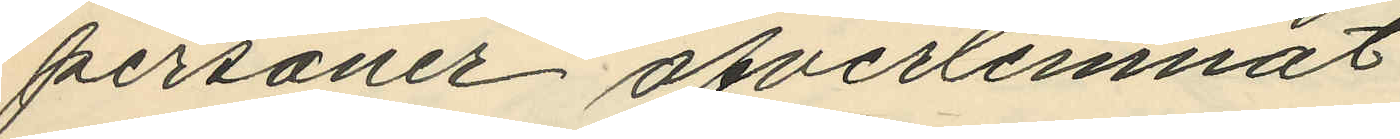personer öfverlemnat
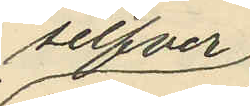silfver
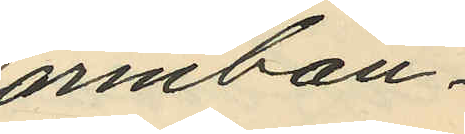armban¬
